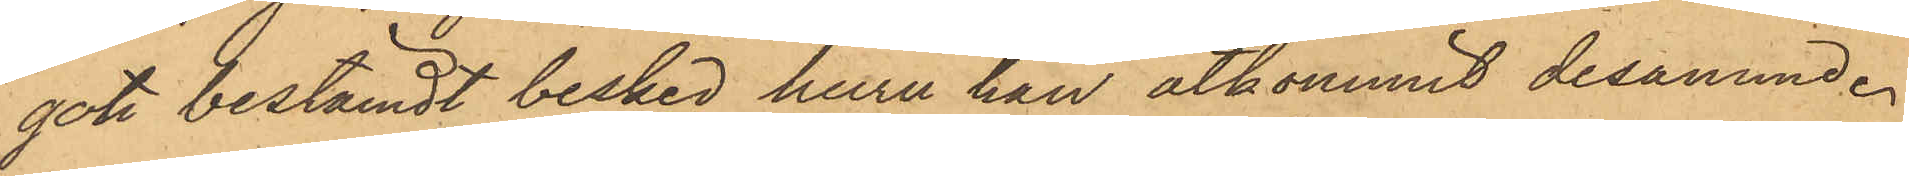got bestämdt besked huru han åtkommit desamme.
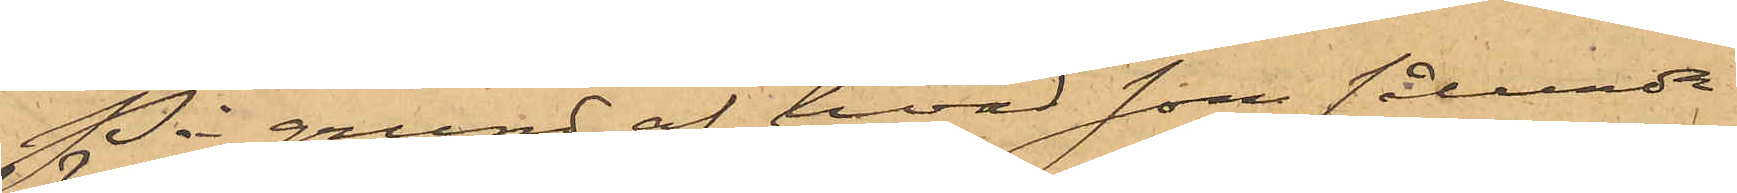På grund af hvad som sålunda
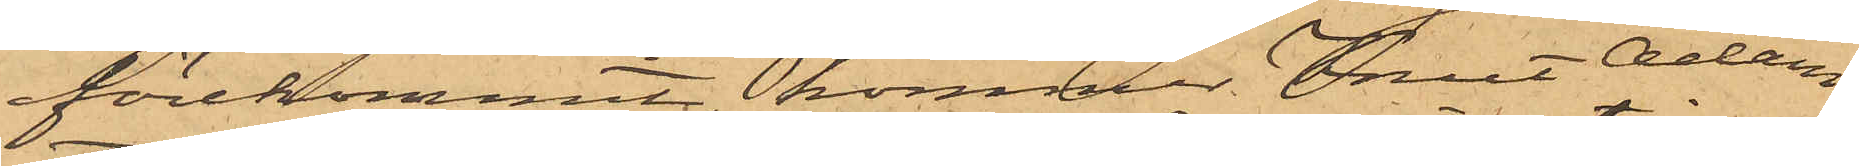förekommit, kommer Knut Adam
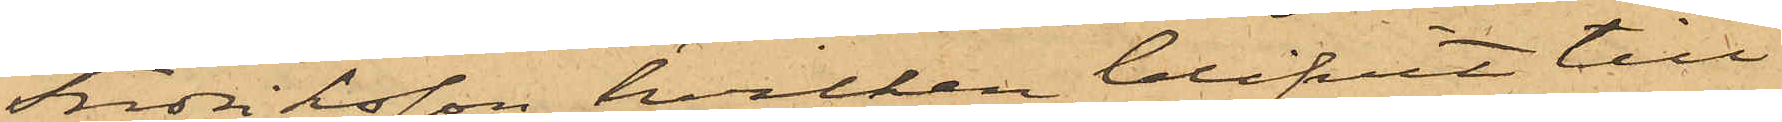Fredriksson, hvilken blifvit till
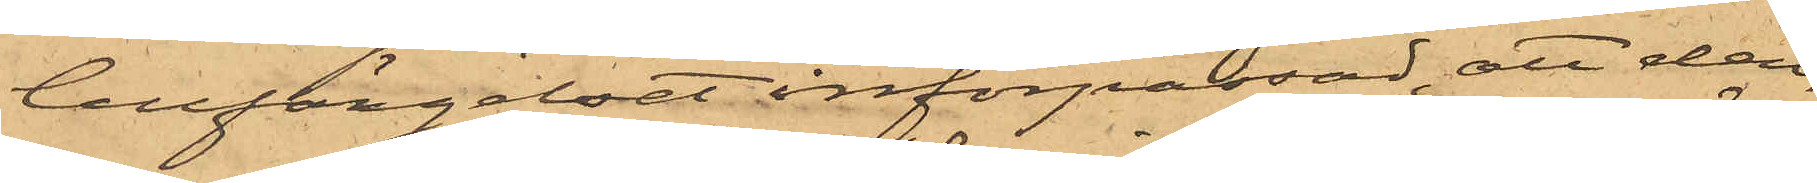Cellfängelset införpassad, att den¬
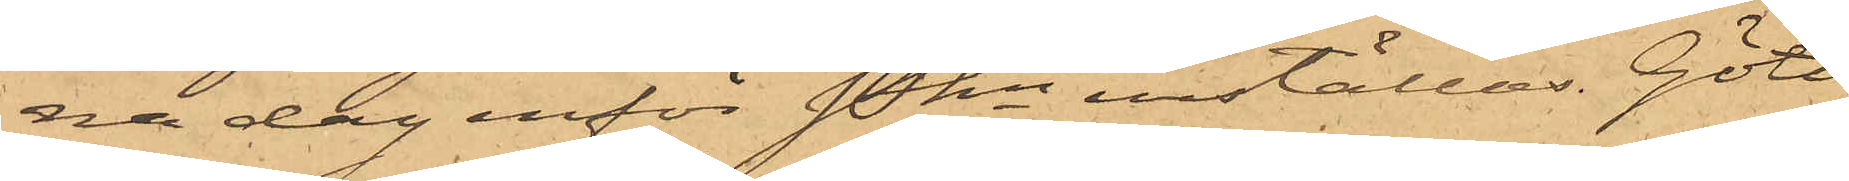na dag inför Pkn inställas. Göte¬
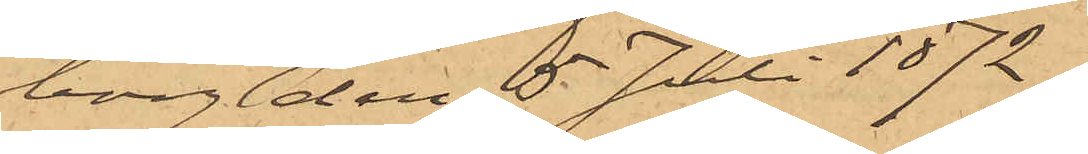borg den 5 Juli 1872.
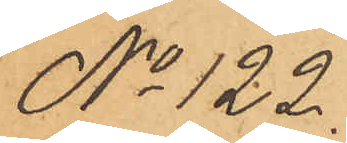No 122
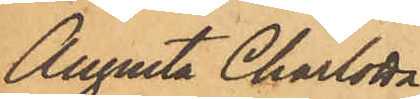Augusta Charlotta
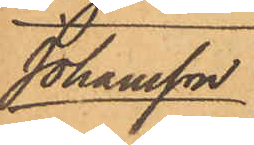Johansson
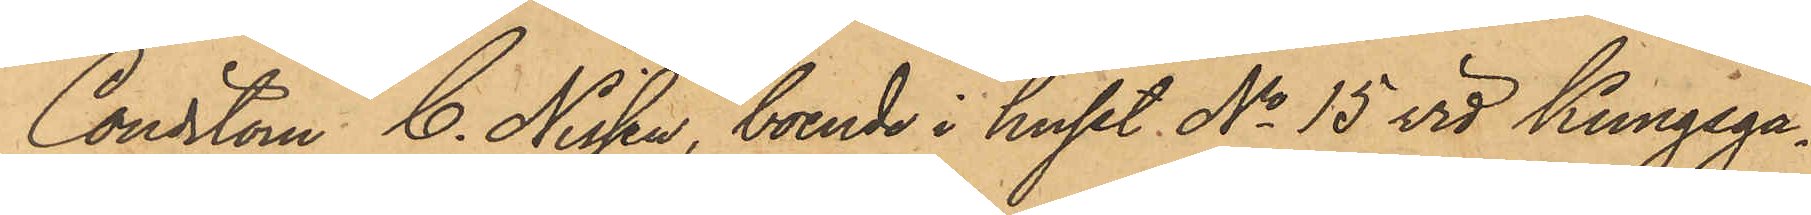Conditorn C. Nissen, boende i huset No 15 vid Kungsga¬
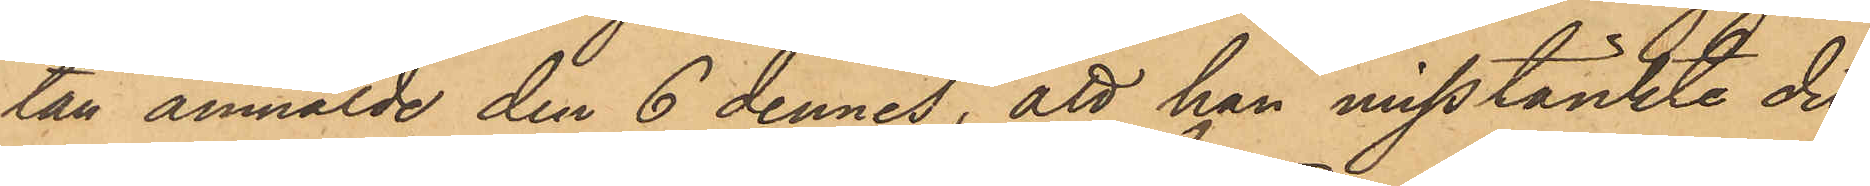tan anmälde den 6 dennes, att han misstänkte det
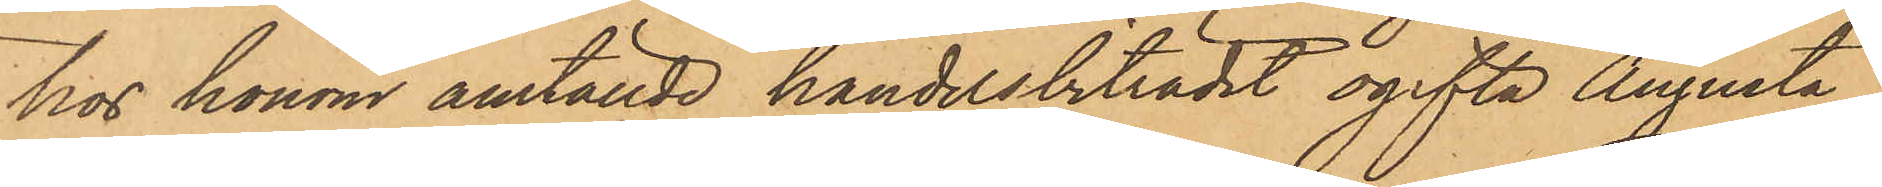hos honom anställde handelsbiträdet ogifta Augusta
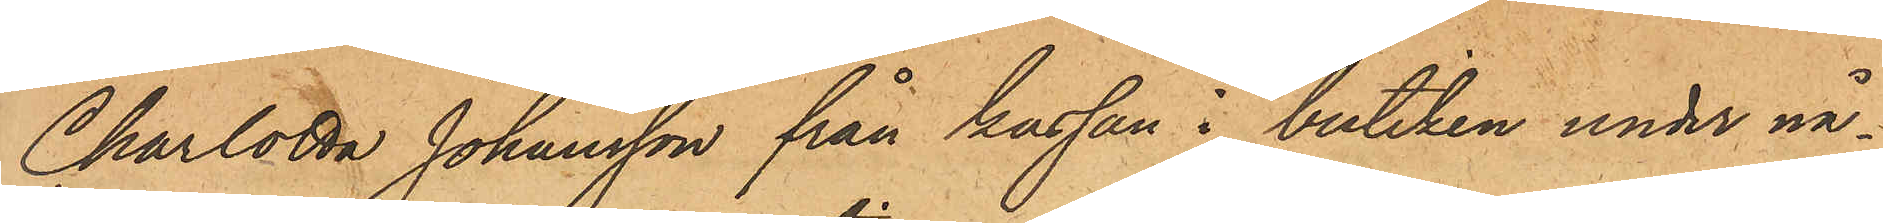Charlotta Johansson från kassan i butiken under nå¬
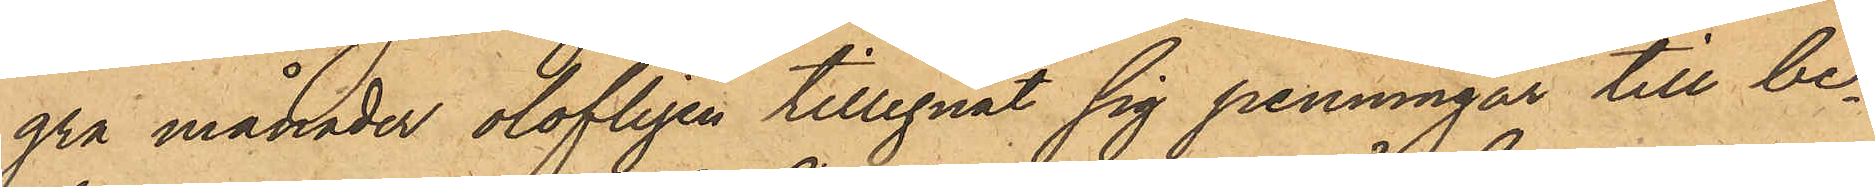gra månader olofligen tillegnat sig penningar till be¬
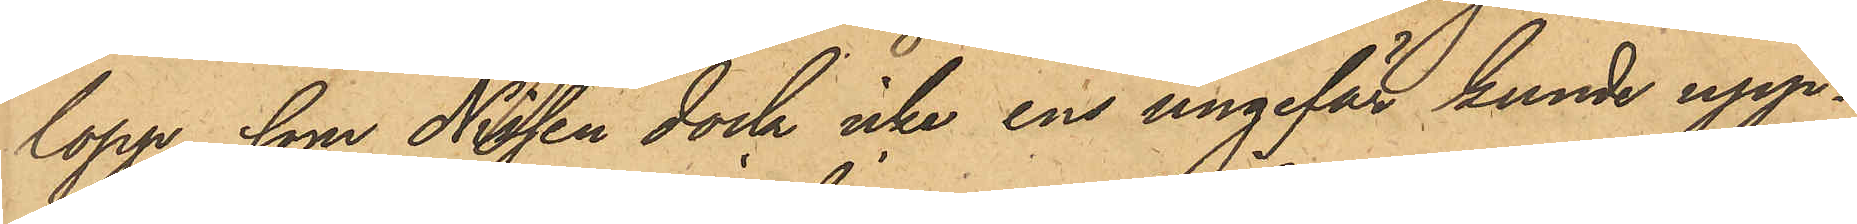lopp, som Nissen dock icke ens ungefär kunde upp¬
